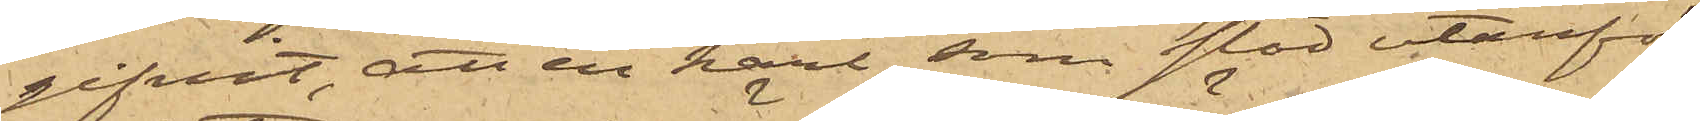gifvit, att en karl som stod utanför
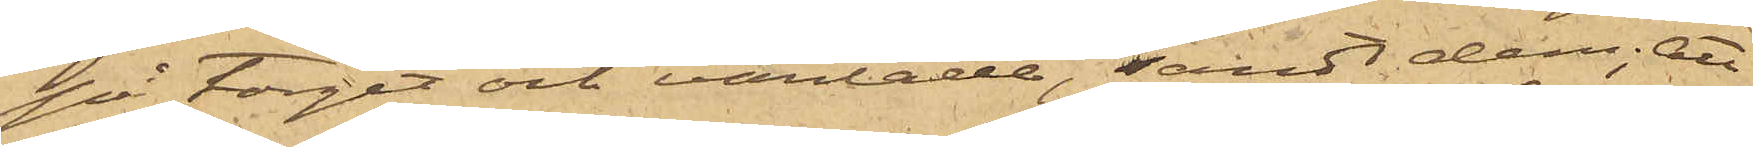på torget och väntade, sändt dem; att
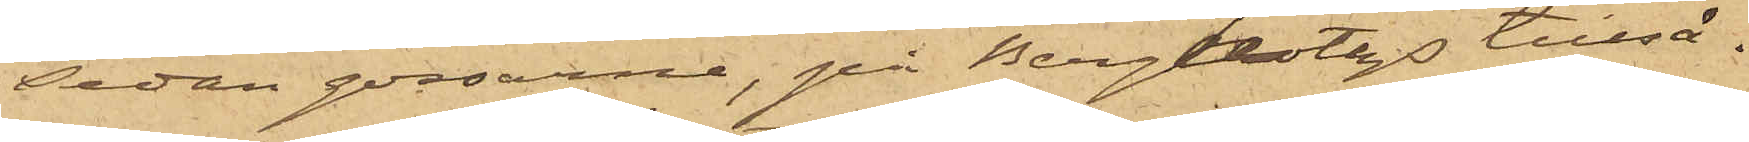sedan gossarne, på Bergholtz tillsä¬
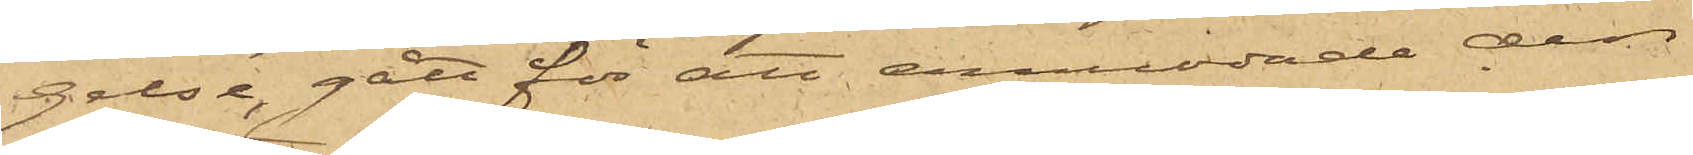gelse, gått för att anmoda den
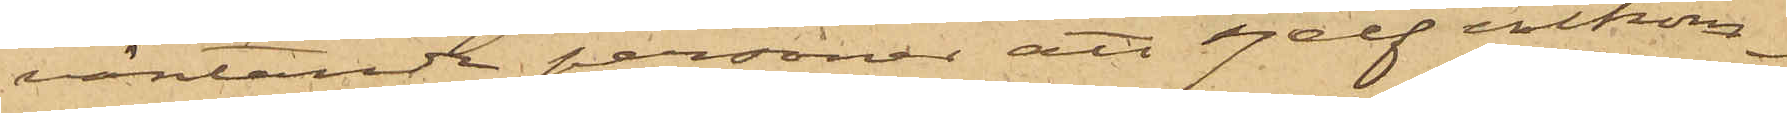väntande personen att sjelf inkom¬
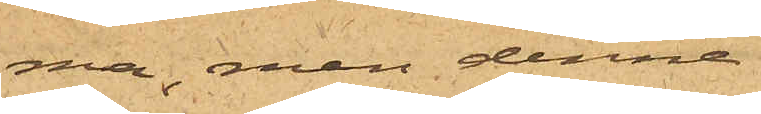ma; men denne
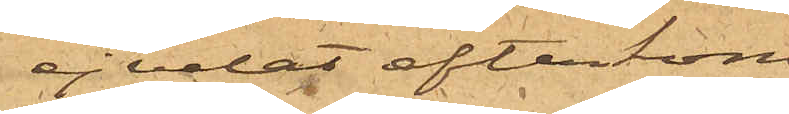ej velat efterkom¬
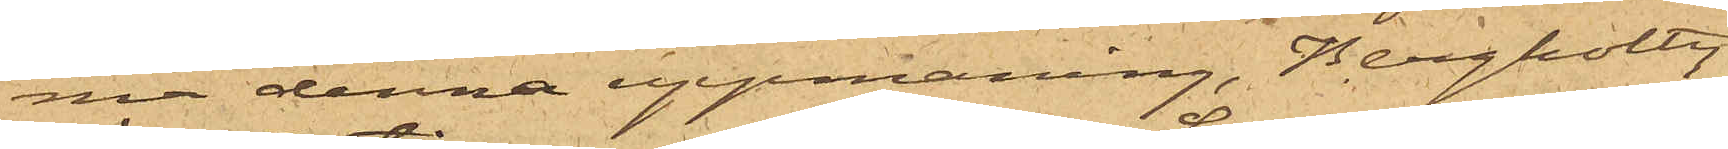ma denna uppmaning, Bergholtz
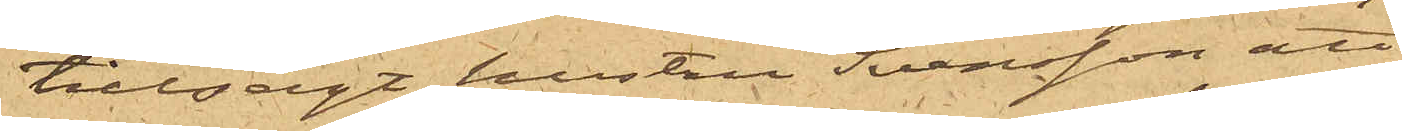tillsagt hustru Svensson att
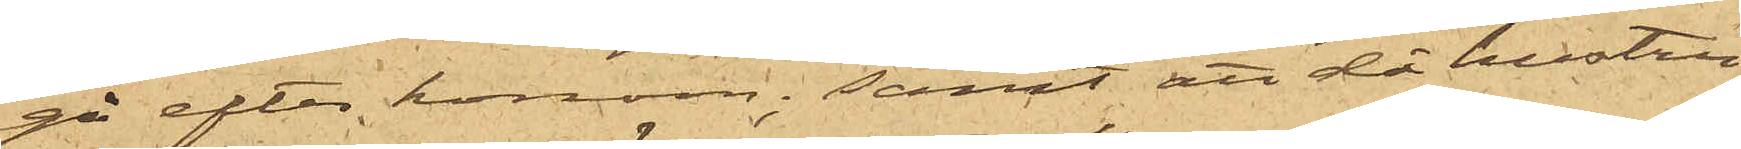gå efter honom; samt att då hustru
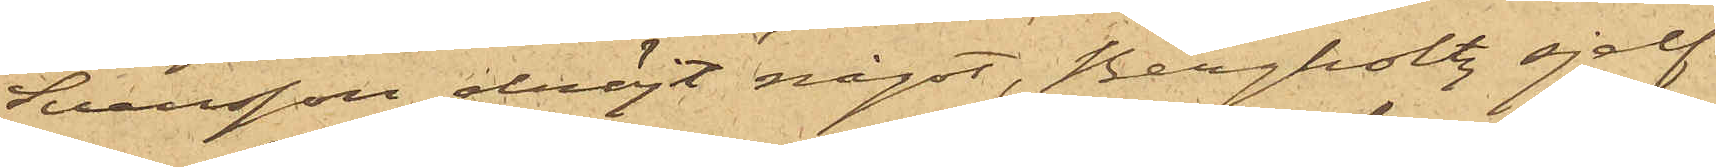Svensson dröjt något, Bergholtz sjelf
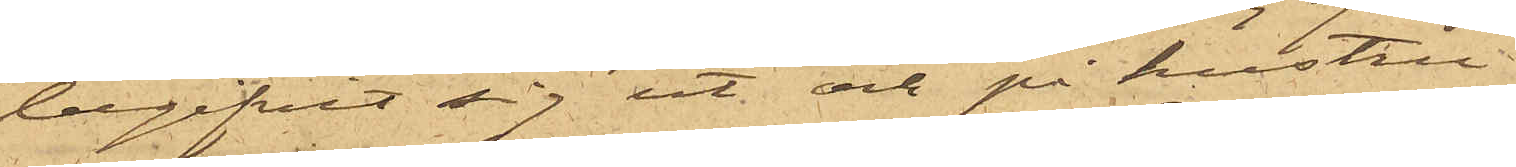 begifvit sig ut och på hustru
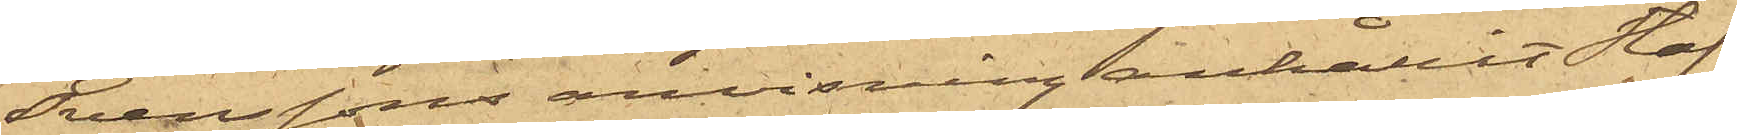Svenssons anvisning anhållit Staf.
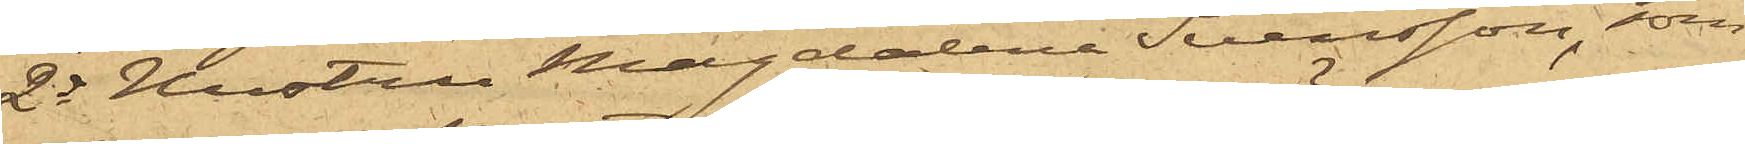2o Hustrun Magdalena Svensson, som
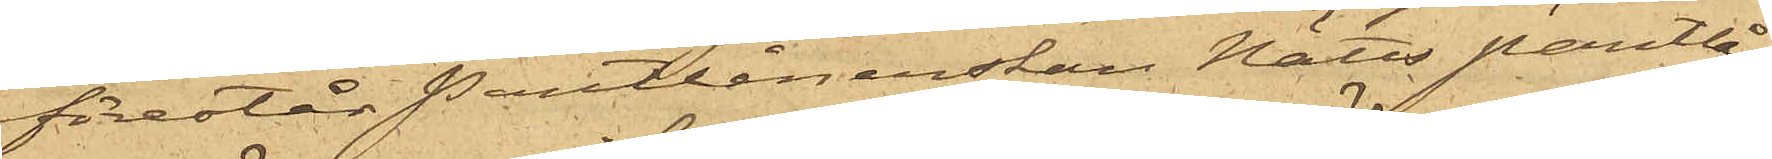förestår Pantlånerskan Nätts Pantlå¬
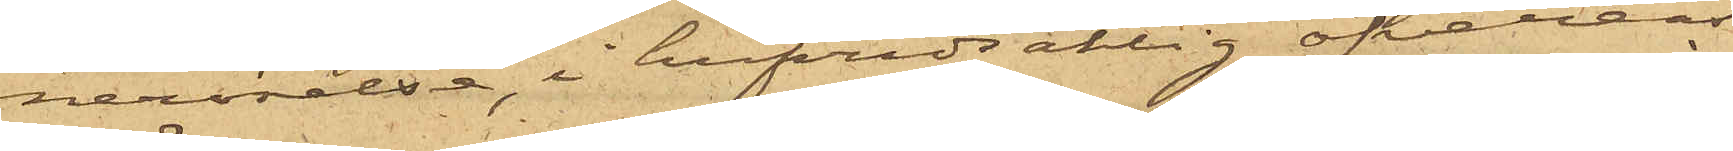nerörelse, i hufvudsaklig öfveren¬
